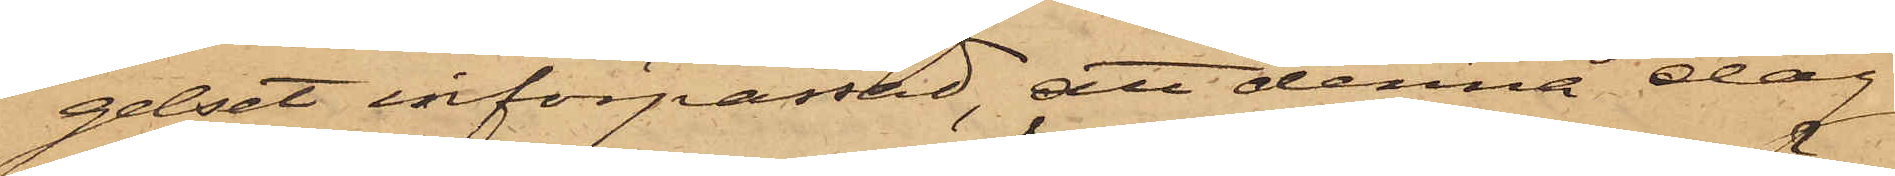gelset införpassad, att denna dag
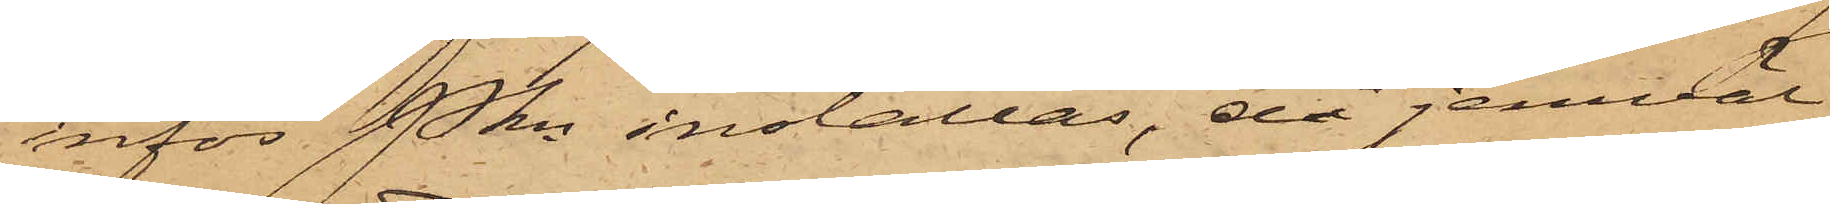inför Pkn inställas, då jemväl
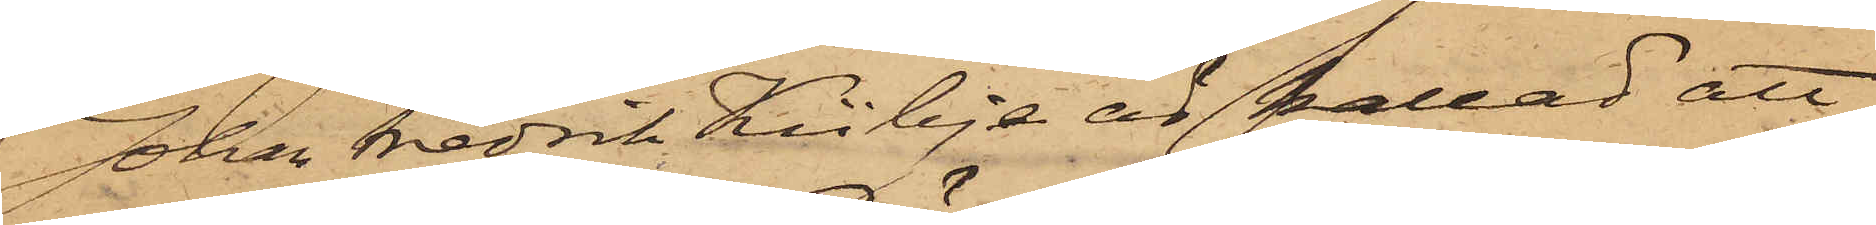Johan Fredrik Kübje är kallad att
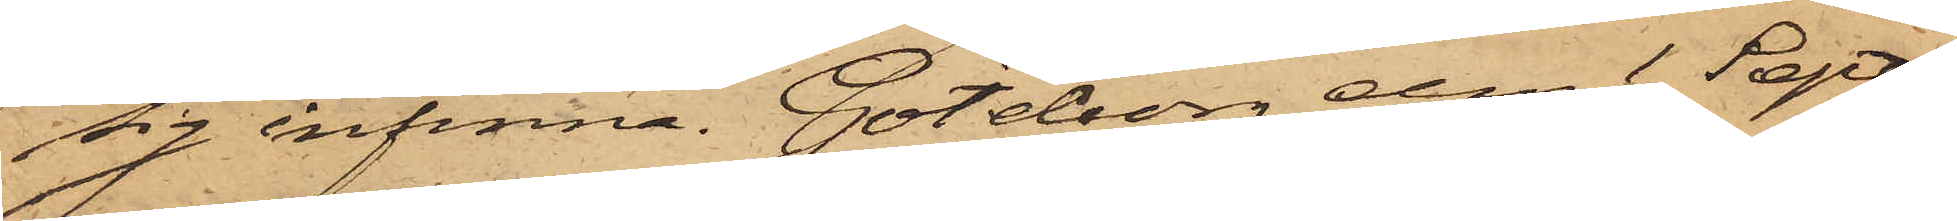sig infinna. Göteborg den 1 Sept.
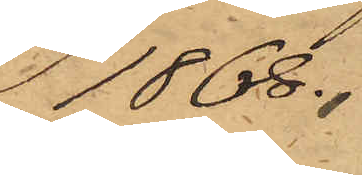1868.
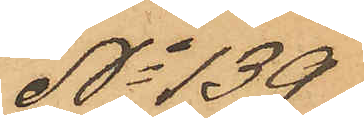No 139
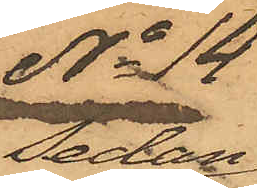Sedan
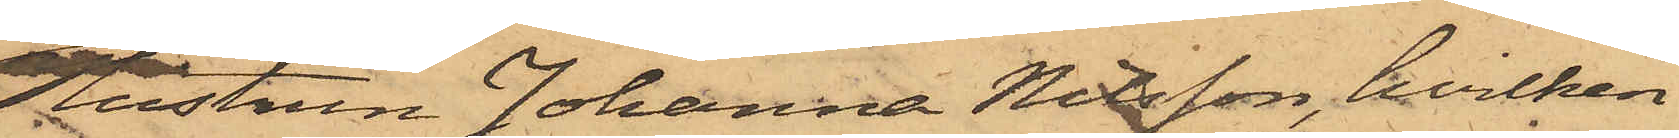Hustrun Johanna Nilsson, hvilken
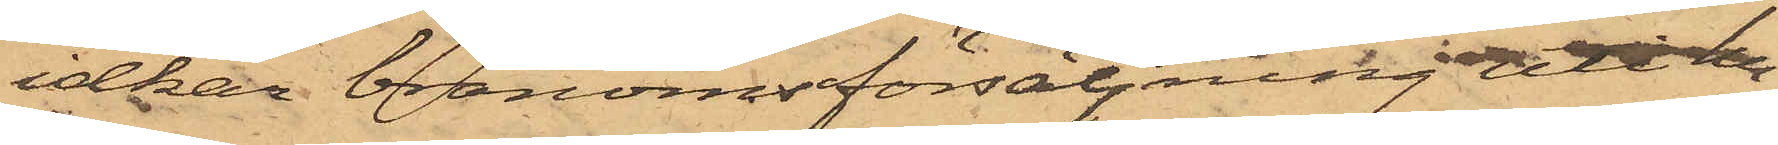idkar bränvinsförsäljning uti hu¬
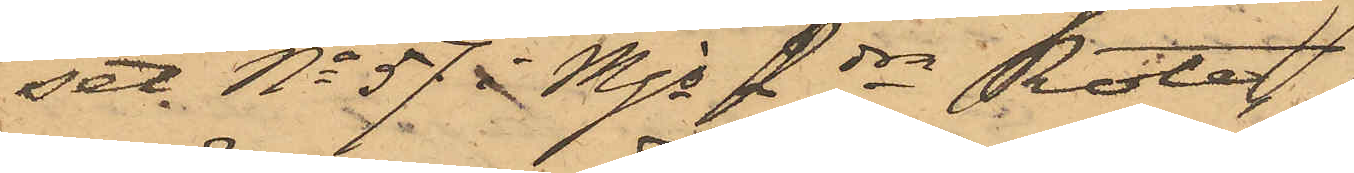set No 57 i Mjs 2dra Rote
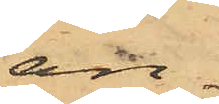an¬
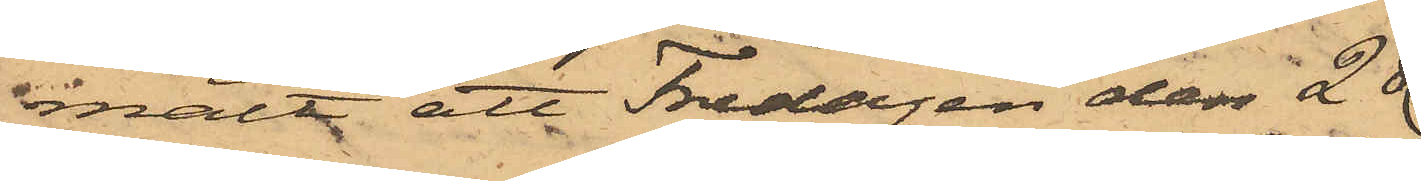mält att Fredagen den 28
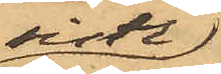sistl.
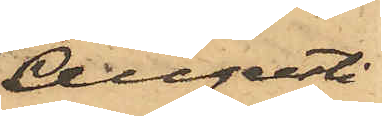Augusti
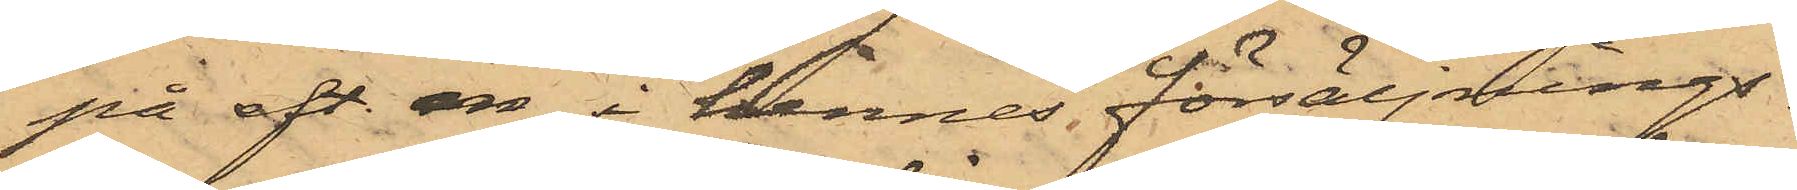på eft. m i hennes försäljnings¬
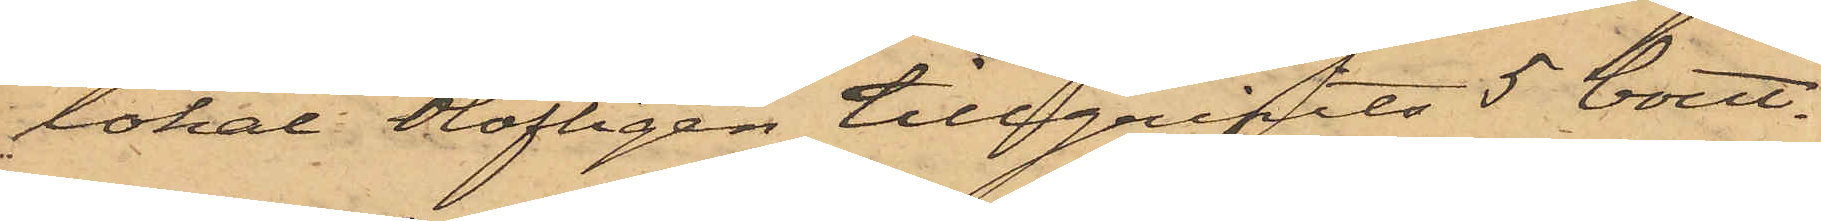lokal, olofligen tillgripits 5 bout.
